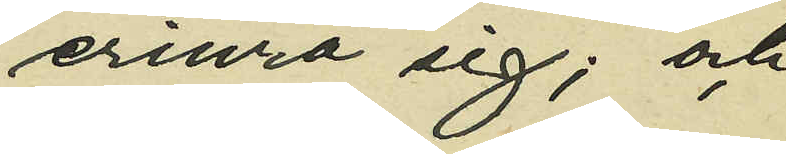kunde erinra sig; och
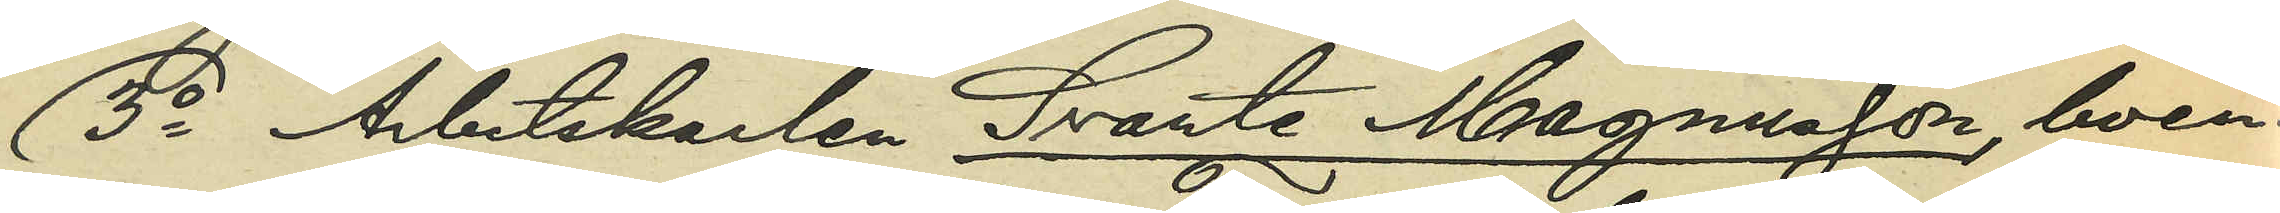3o Arbetskarlen Svante Magnusson, boen¬
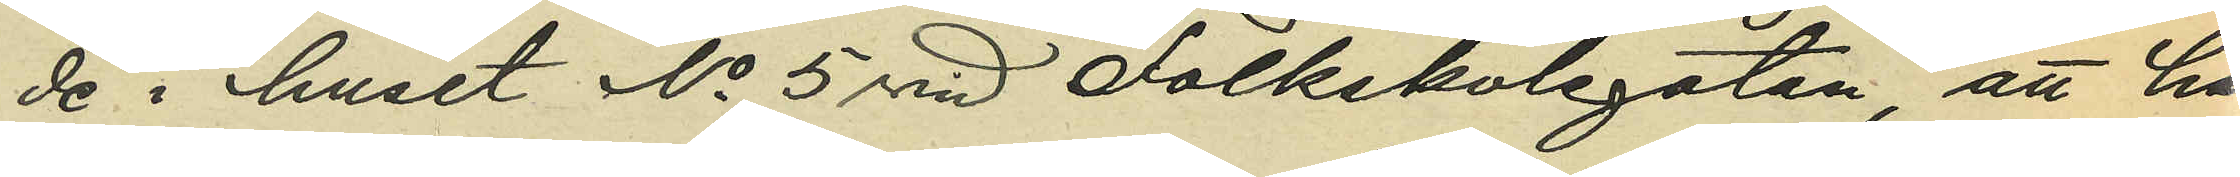de i huset No 5 vid Folkskolegatan, att han,
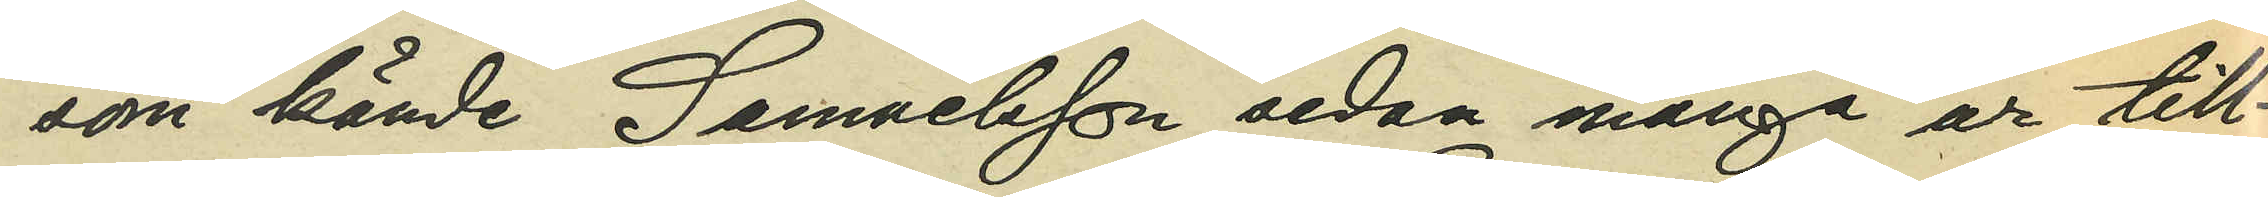som kände Samuelsson sedan många år till¬
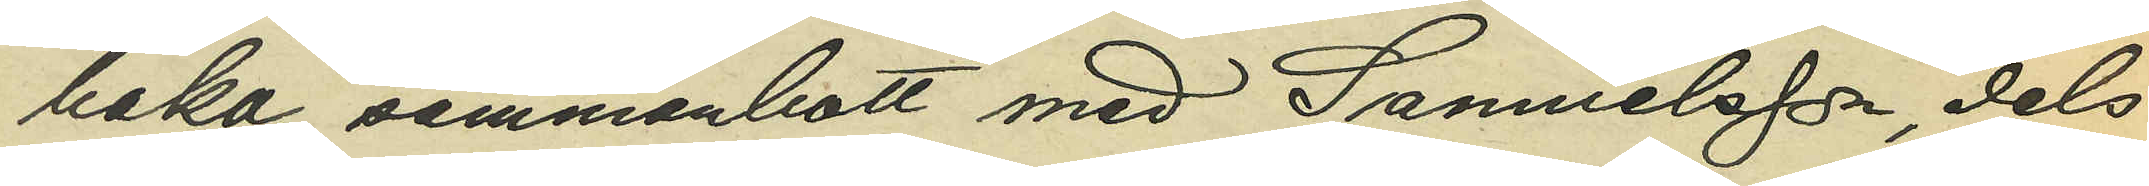baka, sammanbott med Samuelsson, dels
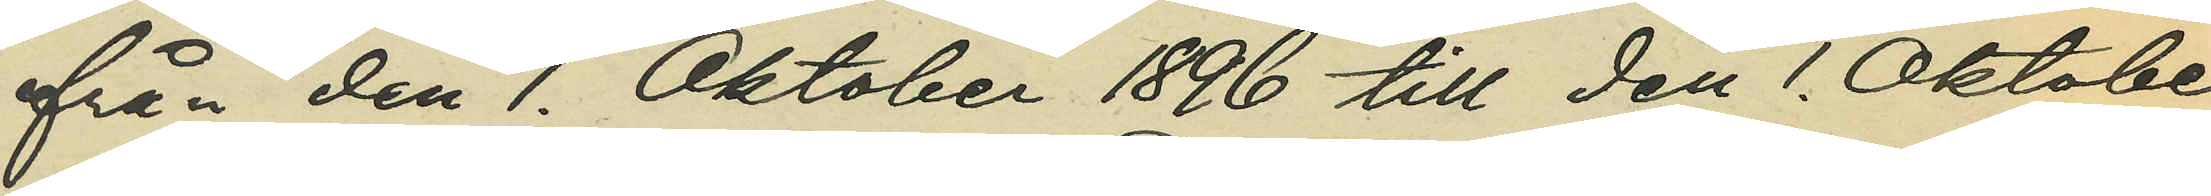från den 1. Oktober 1896 till den 1. Oktober
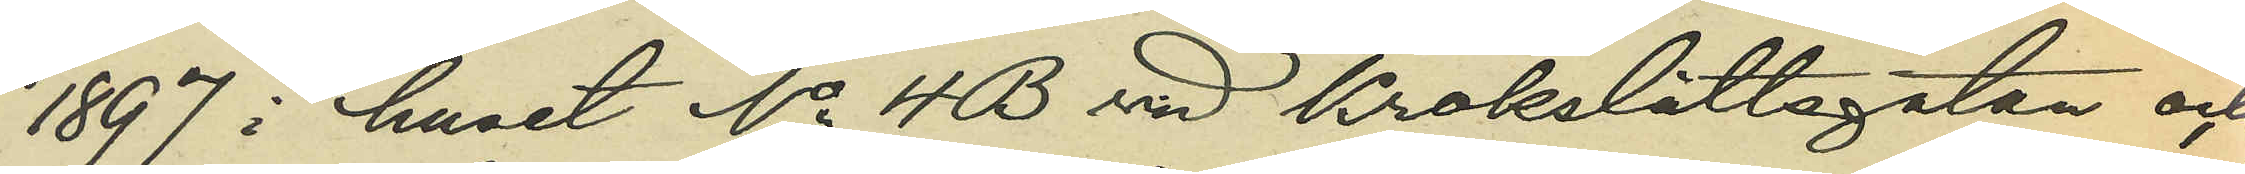1897 i huset No 4 B vid Krokslättsgatan och
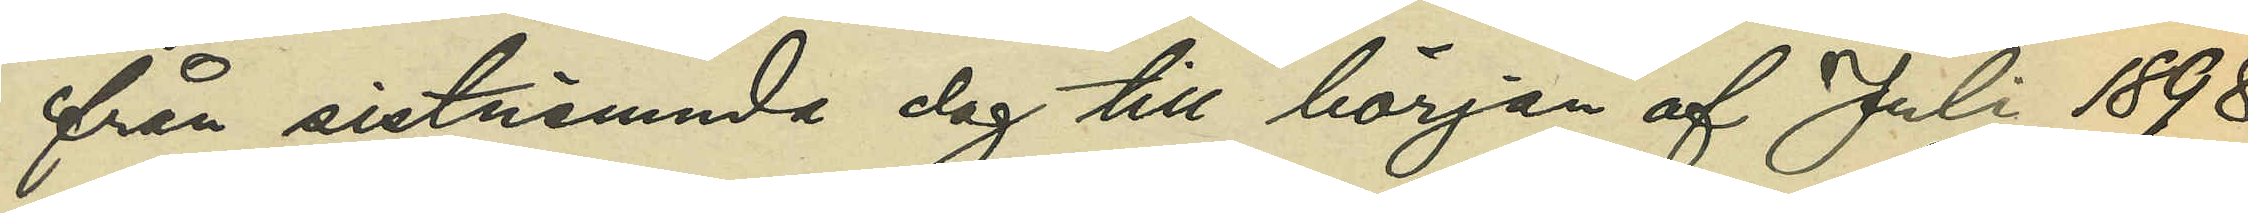från sistnämnda dag till början af Juli 1898
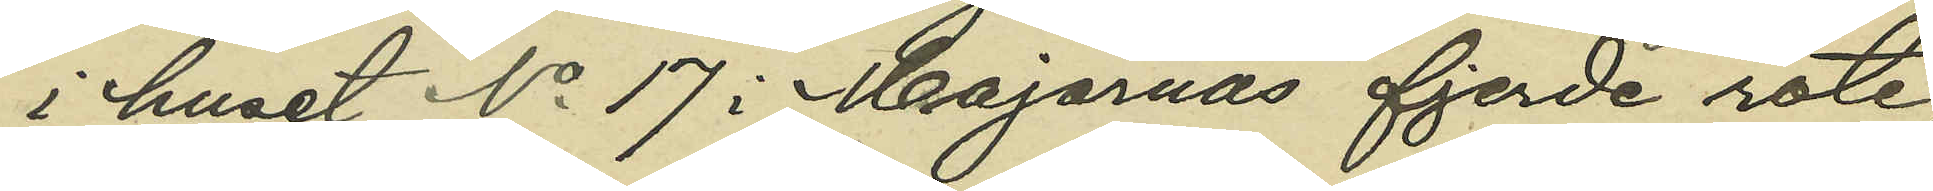i huset No 17 i Majornas fjerde rote;
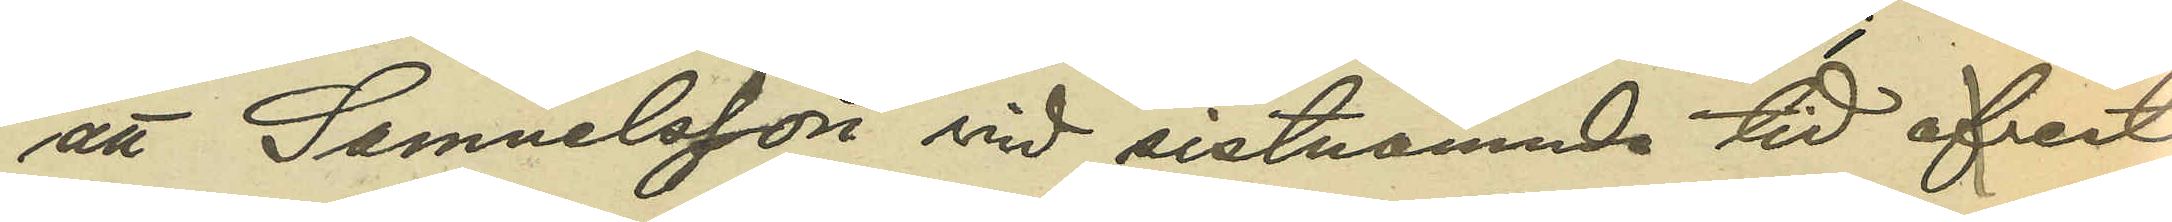att Samuelsson vid sistnämnda tid afrest
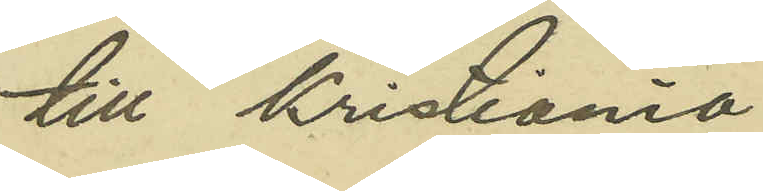till Kristiania
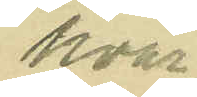hvar¬
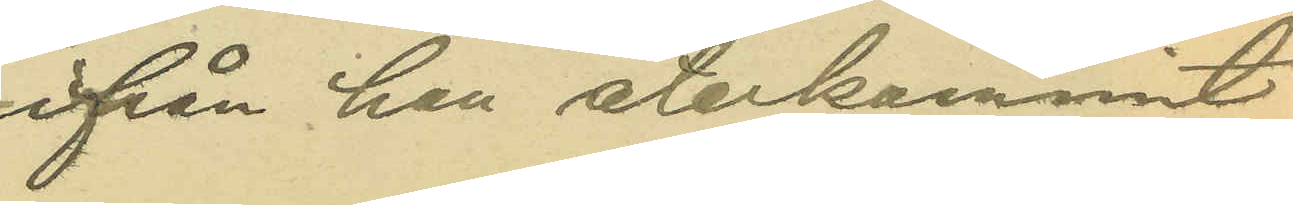ifrån han återkommit
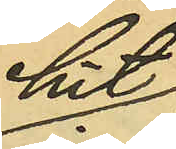hit
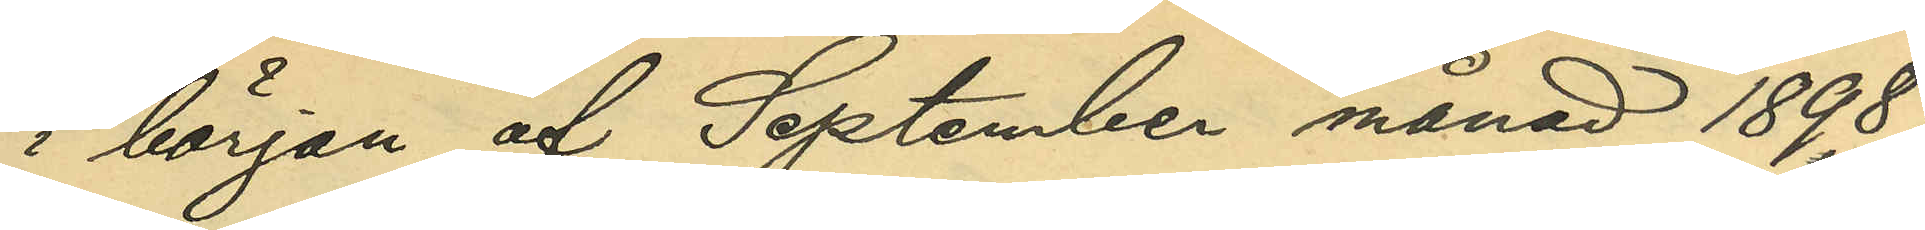i början af September månad 1898;
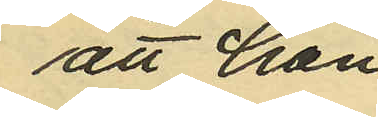att han 
